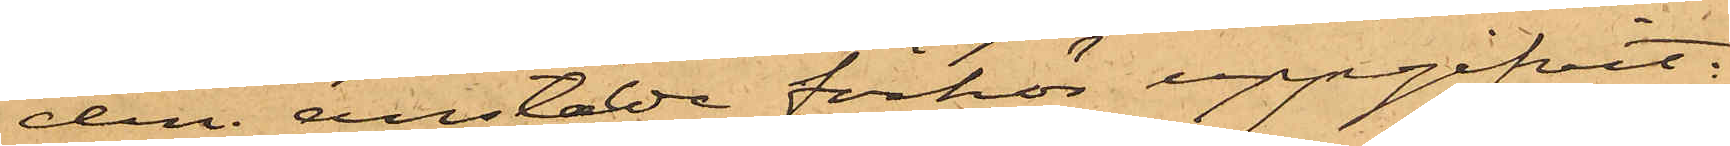dem anstälde förhör uppgifvit:
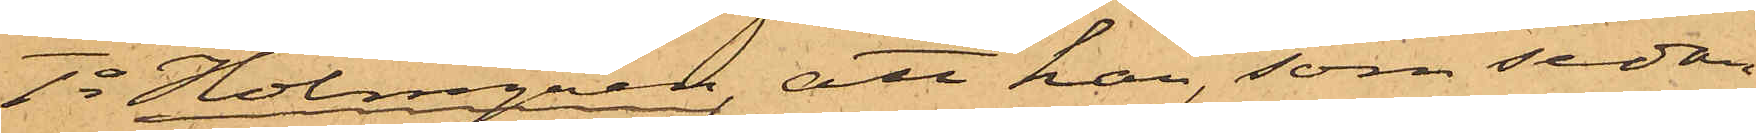1o Holmgren, att han, som sedan
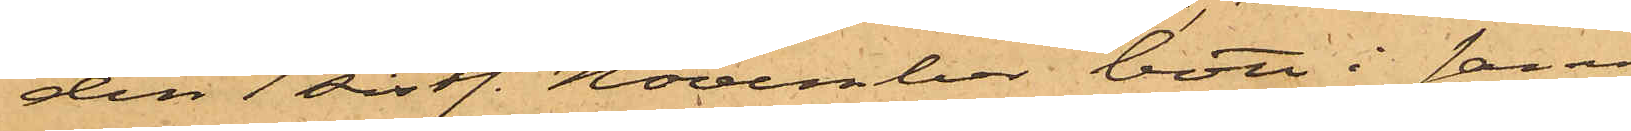den 1 sistl. November bott i samma
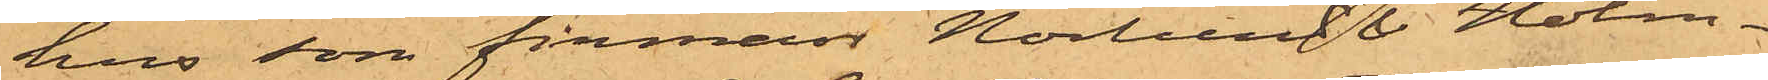hus som firman Norlund & Holm¬
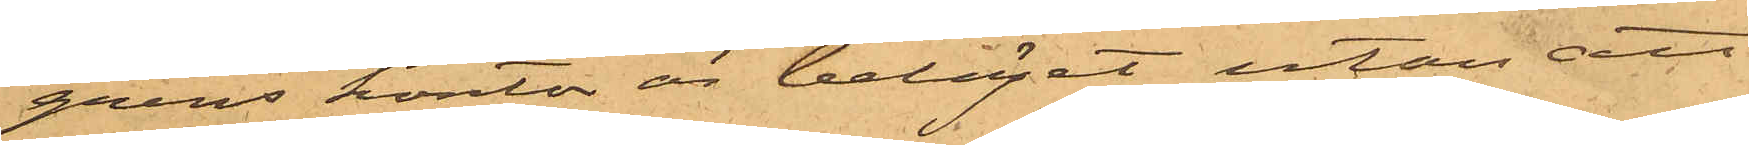grens kontor är beläget utan att
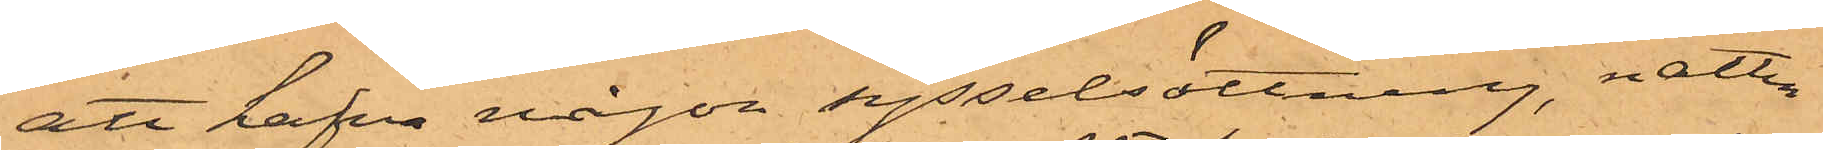att hafva någon sysselsättning, natten
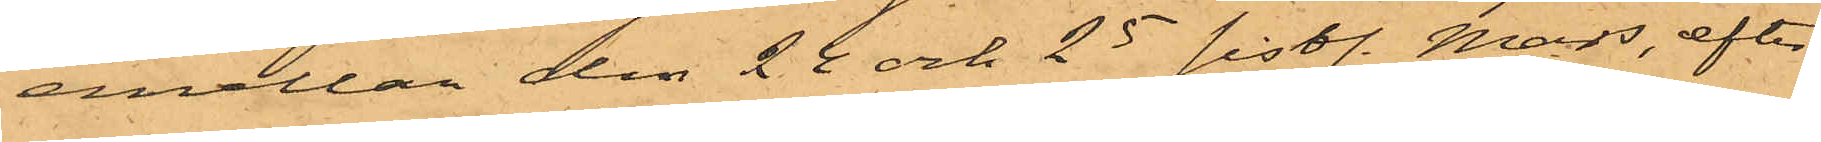emellan den 24 och 25 sistl. Mars, efter
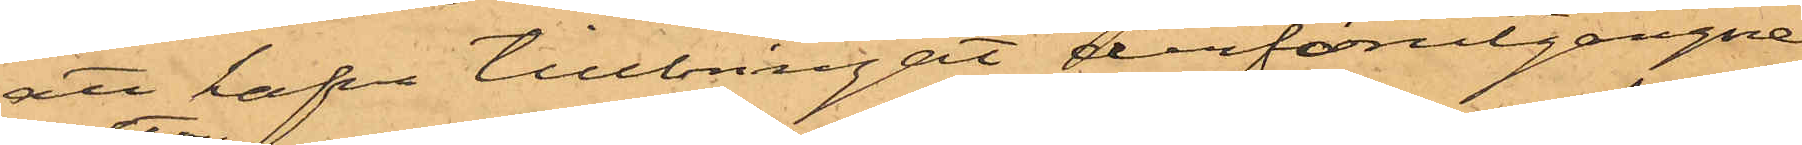att hafva tillbringat derförutgångne
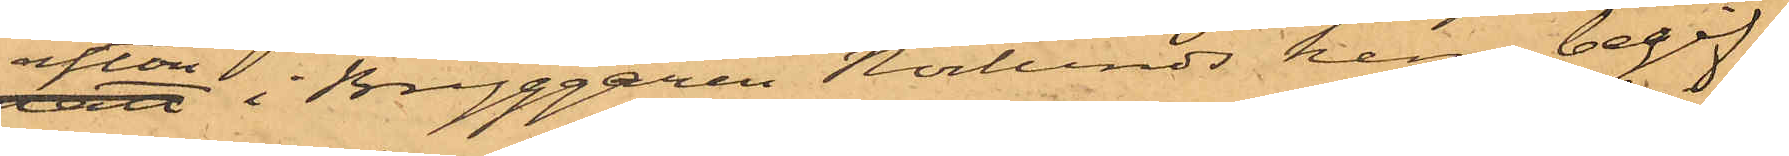afton i Bryggaren Norlunds hem, begif¬
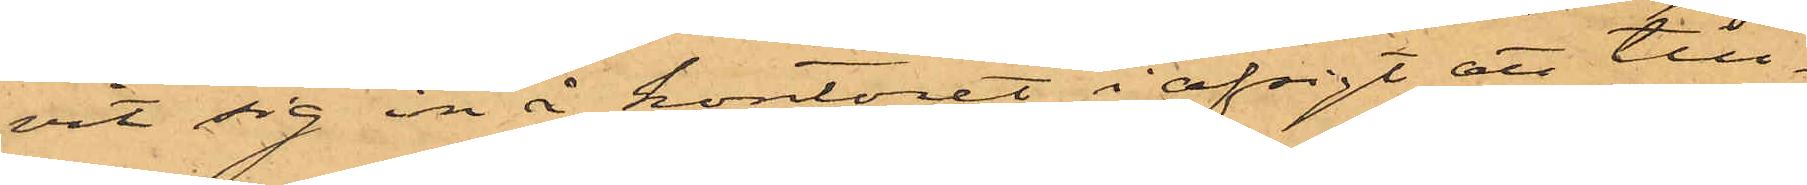vit sig in å kontoret i afsigt att till¬
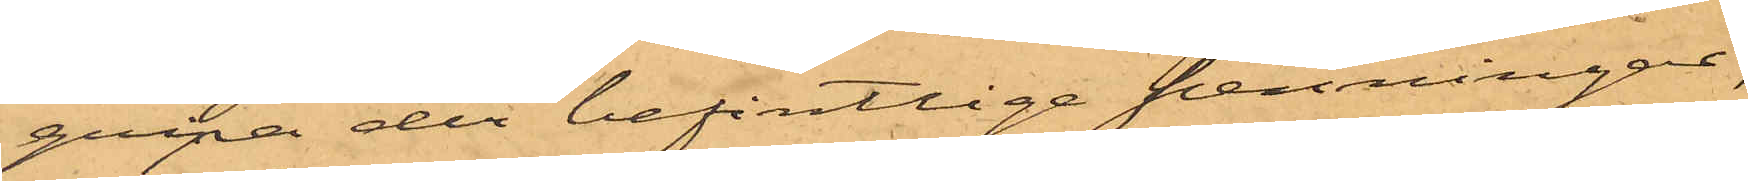gripa der befintlige penningar,
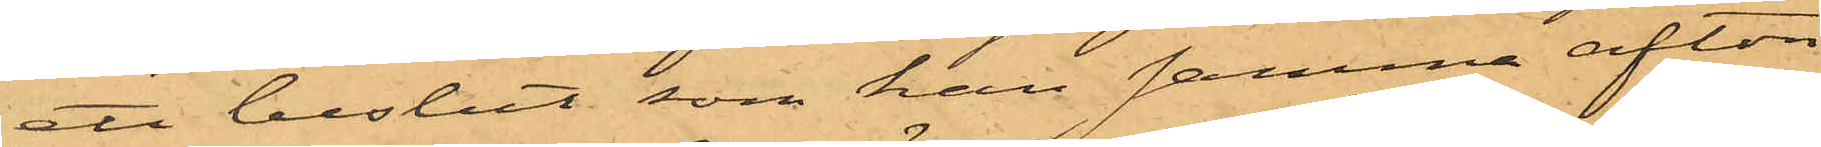ett beslut, som han samma afton
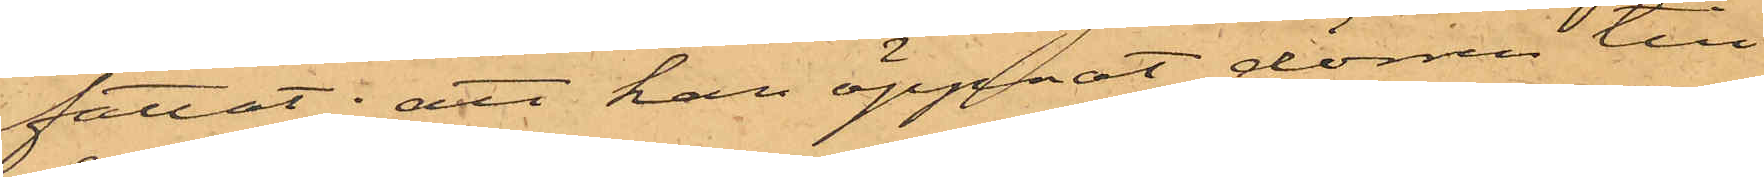fattat; att han öppnat dörren till
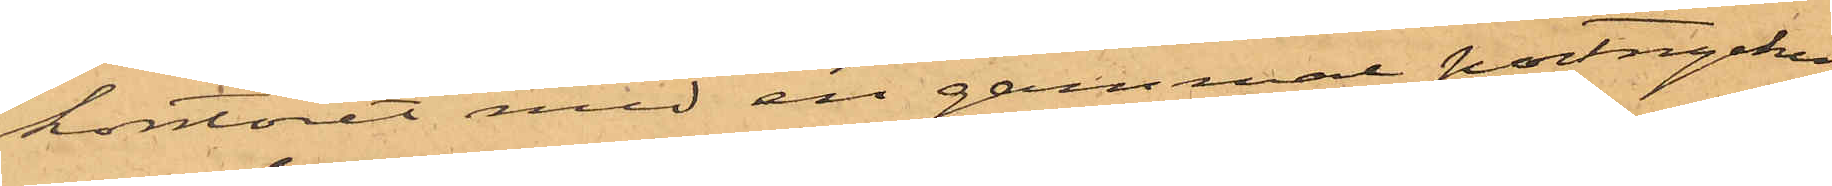kontoret med en gammal portnyckel
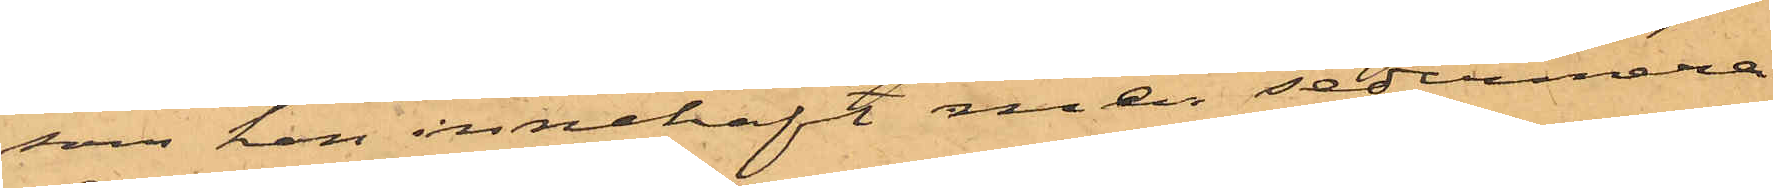som han innehaft men sedermera
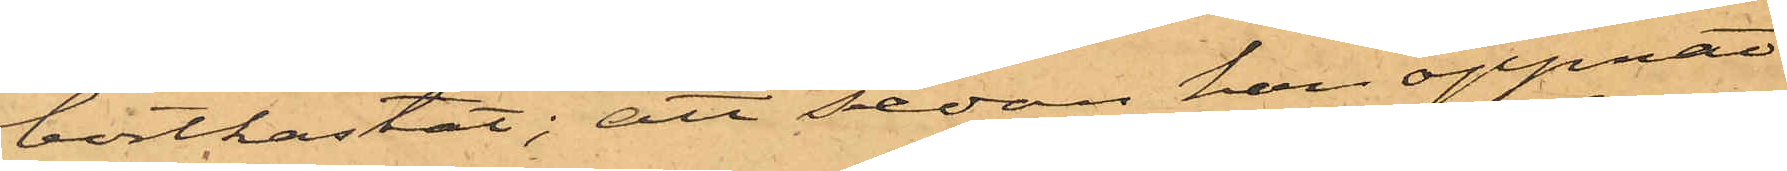bortkastat; att sedan han öppnat
